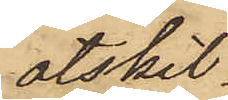åtskil¬
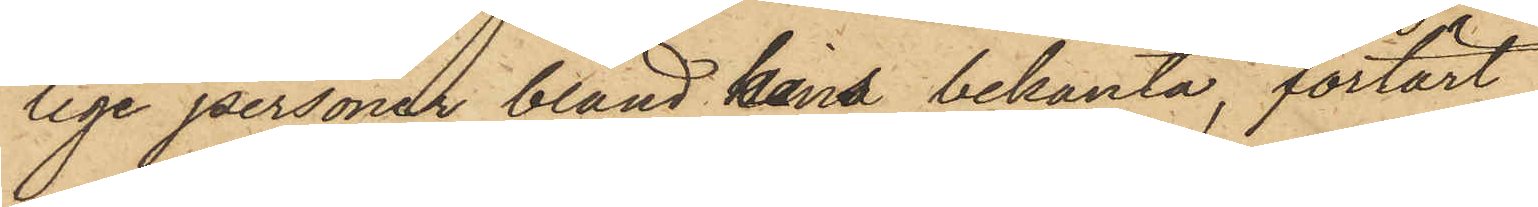lige personer bland hans bekanta, förtärt
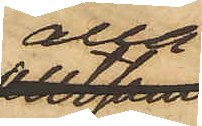alla
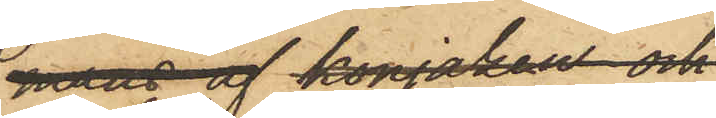de bekomne spritvarorne,
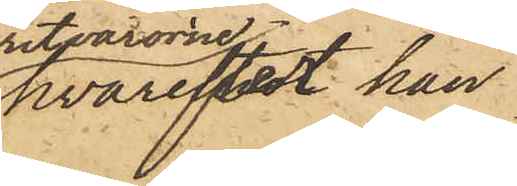hvarefter han
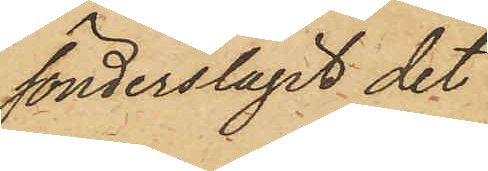sönderslagit det
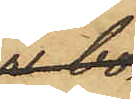ler¬
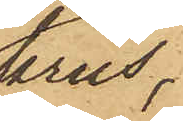krus,
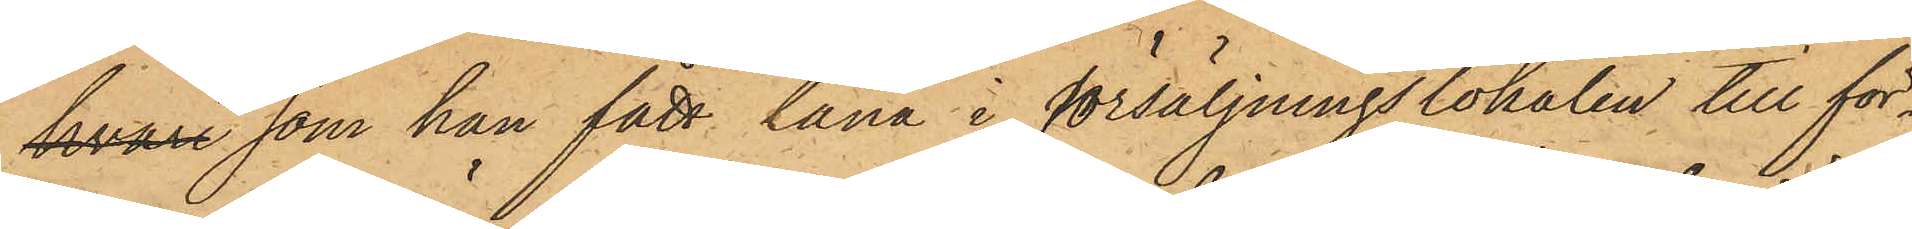hvari som han fått låna i försäljningslokalen till för¬
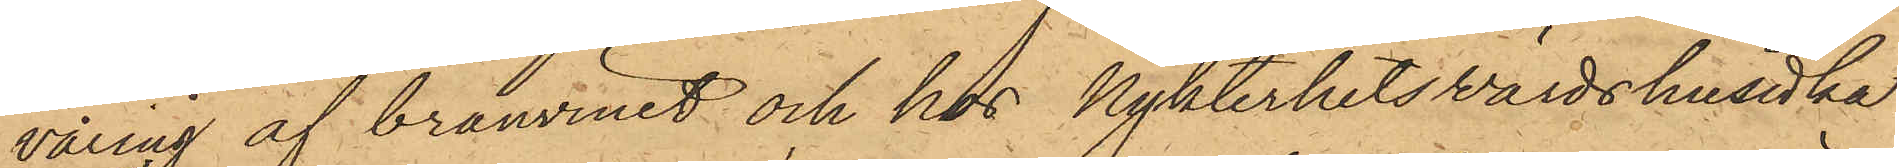varing af bränvinet och hos Nykterhetsvärdshusidka¬
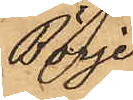Börje
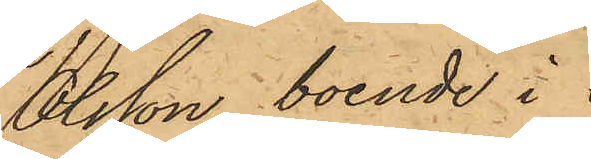Olsson, boende i
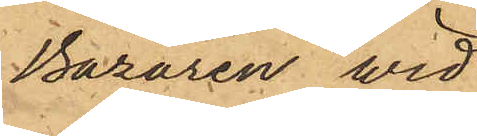Bazaren wid
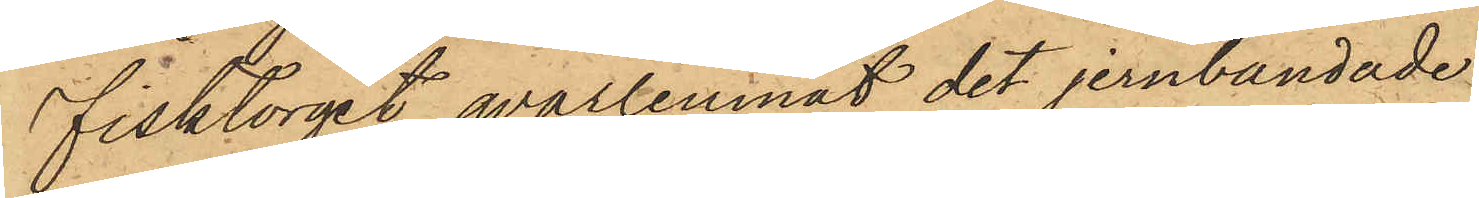Fisktorget, qvarlemnat det jernbandade
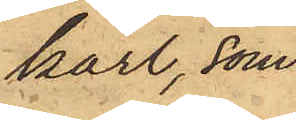kärl, som
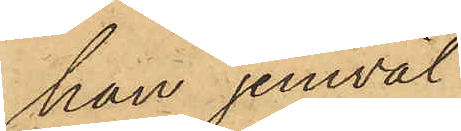han jemväl
